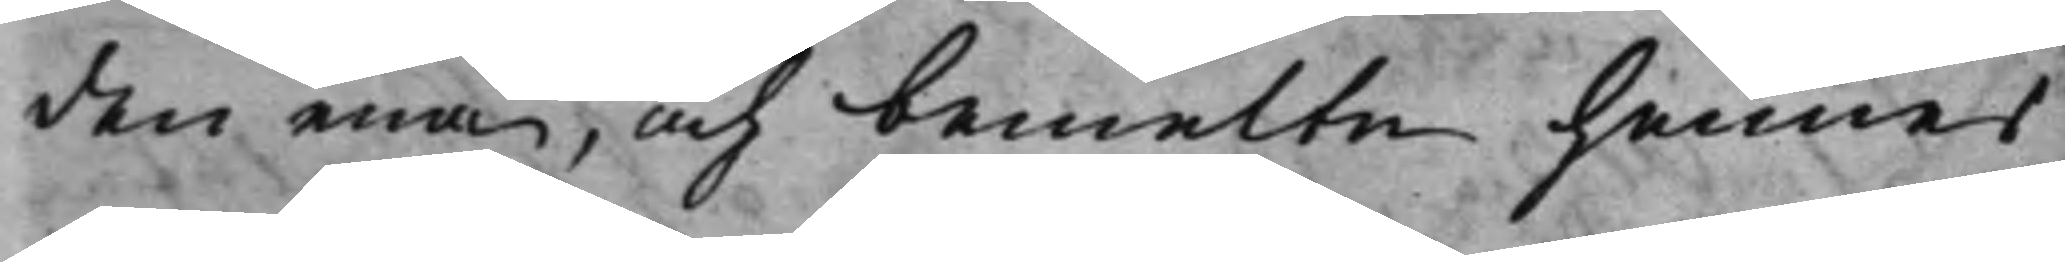den ena, och bemelte hennes
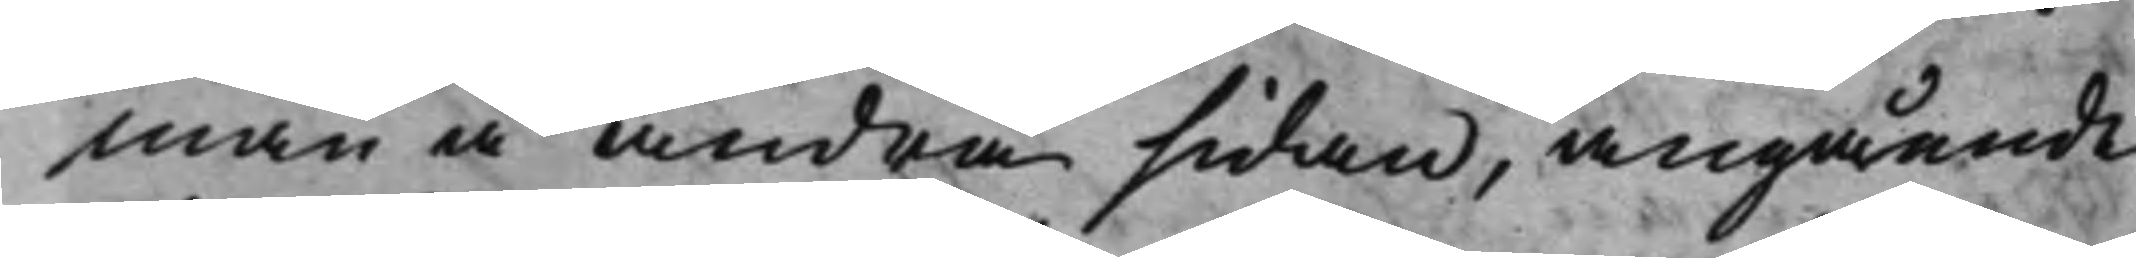Man å andra sidan, angående
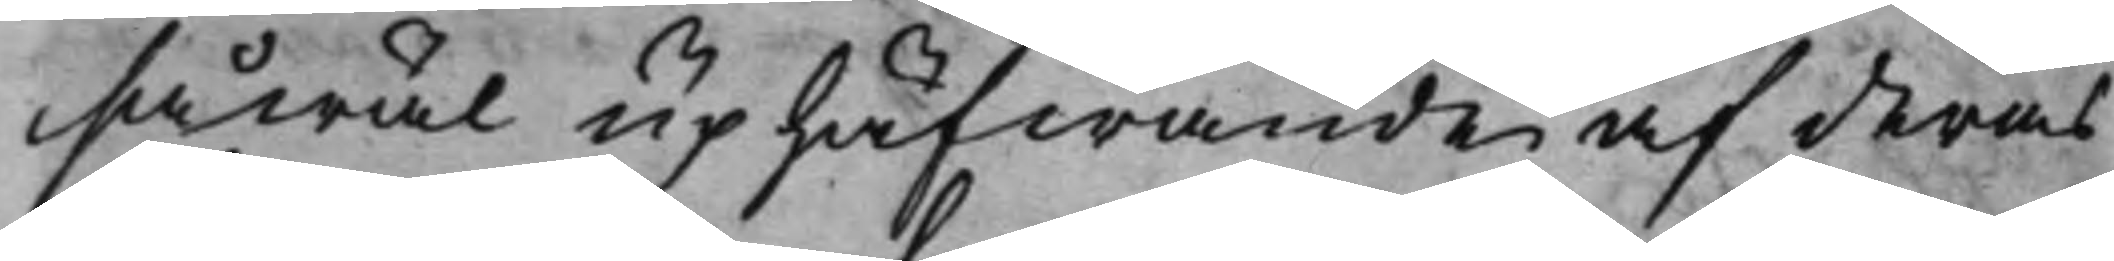såwäl uphäfwande af deras
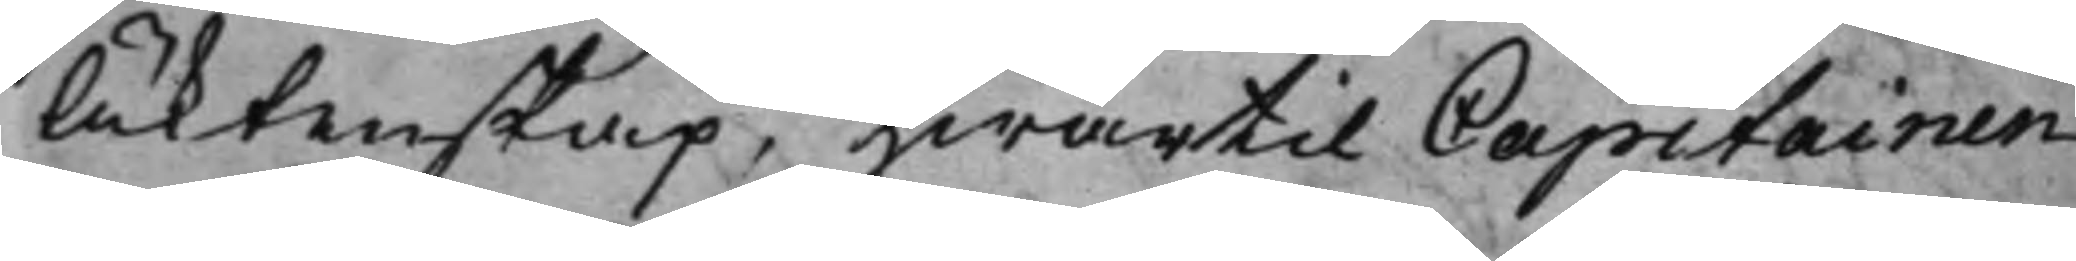Äktenskap, hwartil Capitainen
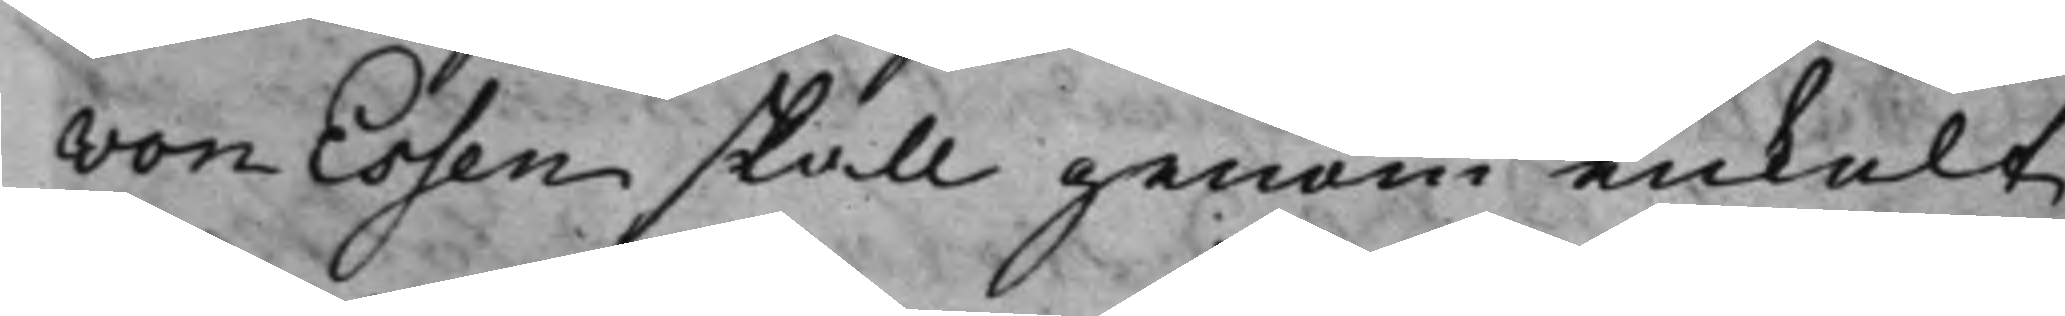von Essen skall genom enkelt
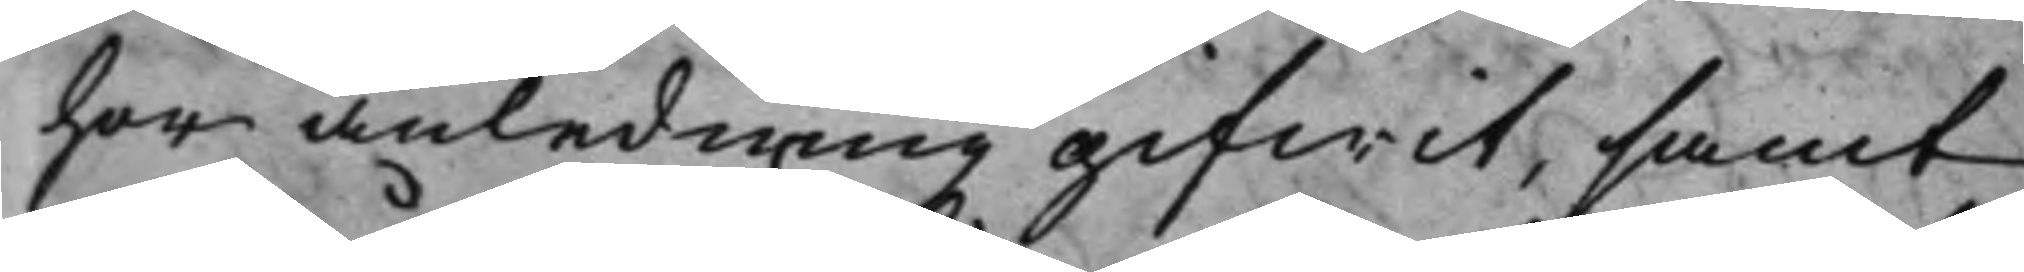hor anledning gifwit, samt
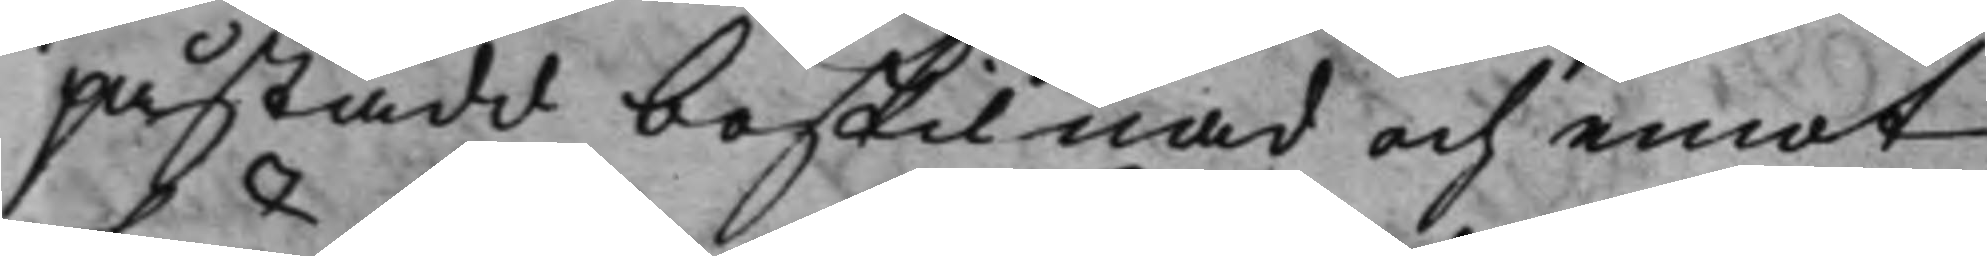påstådd boskilnad och emot
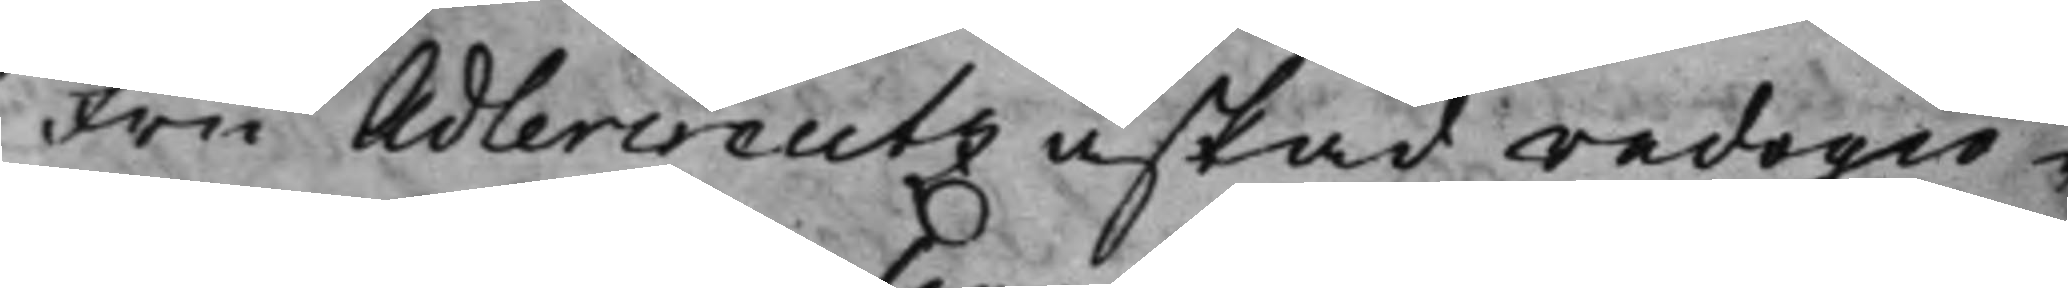Fru Adlercreutz äskad redogiö¬
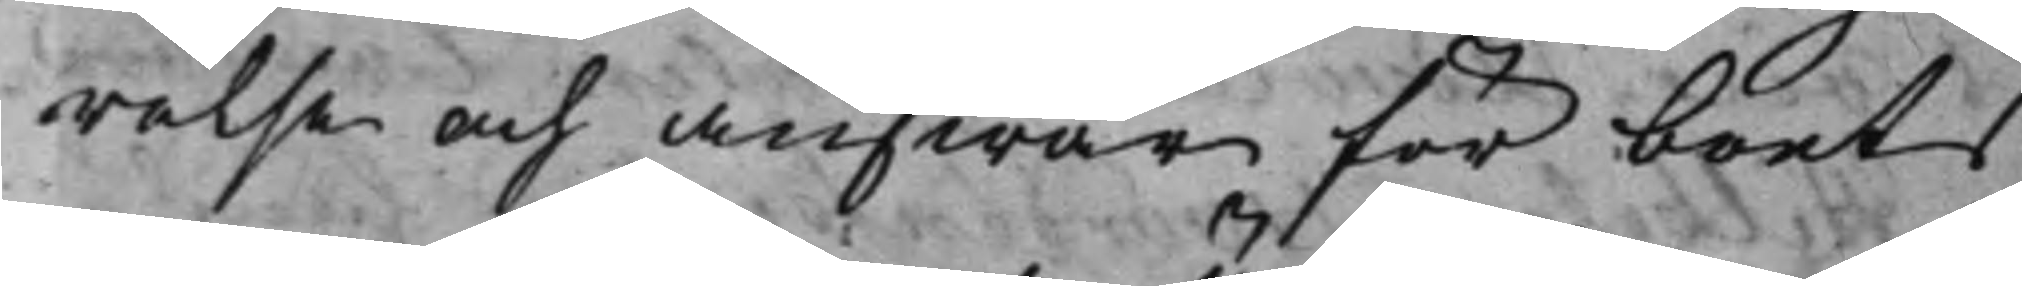relse och answar för boets
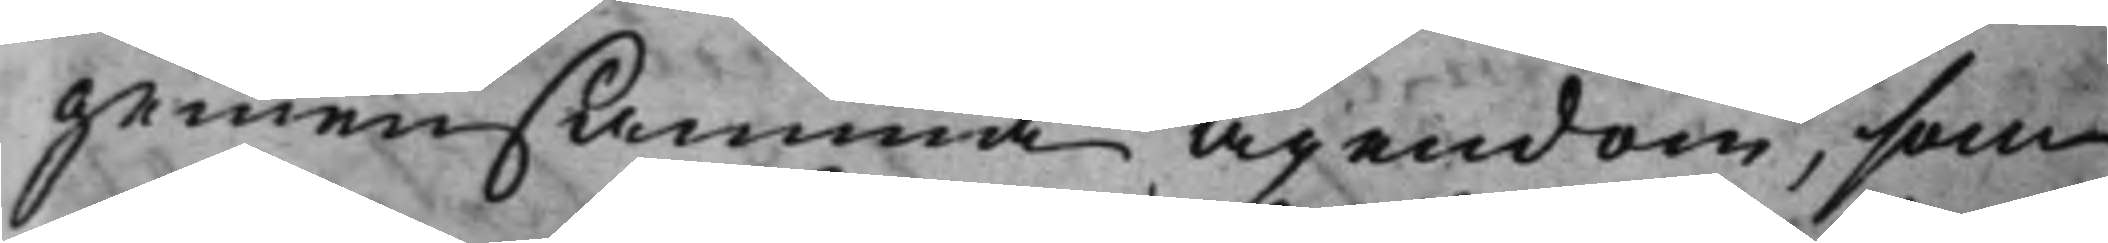gemensamma ägendom, som
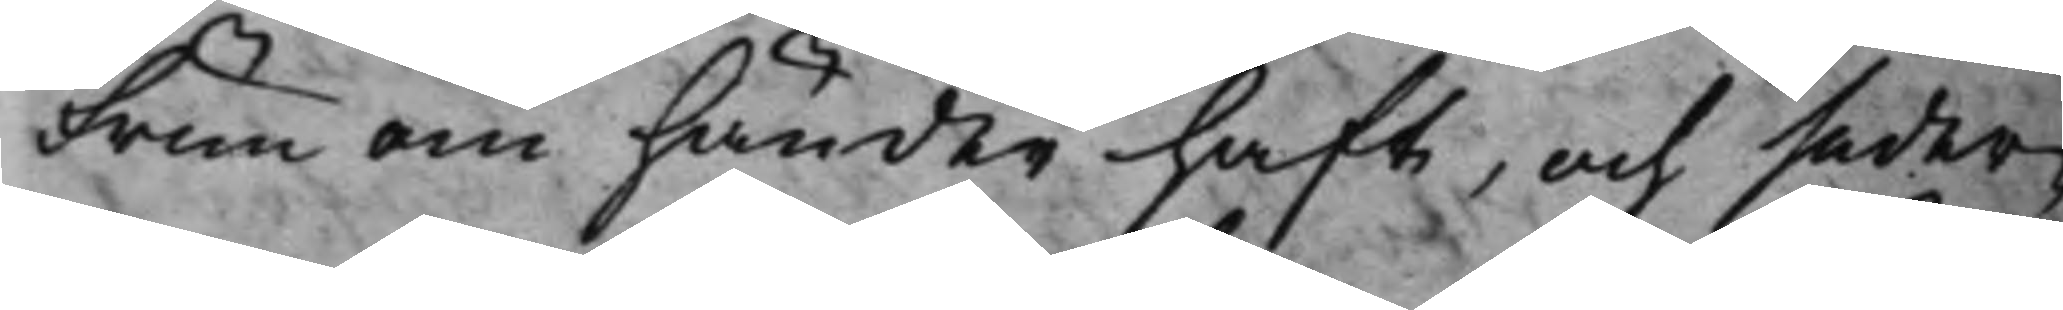Frun om händer haft, och seder¬
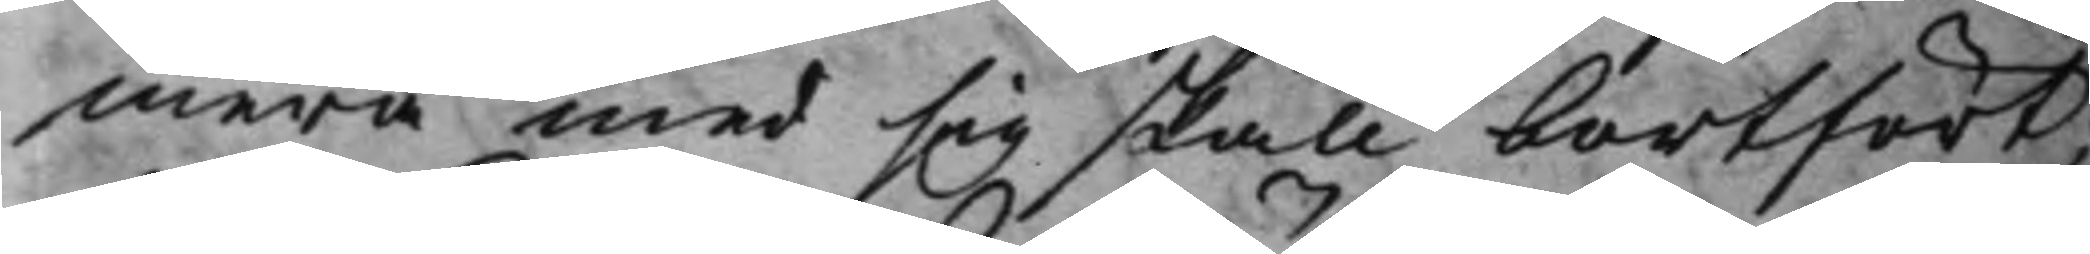mera med sig skall bortfört; 
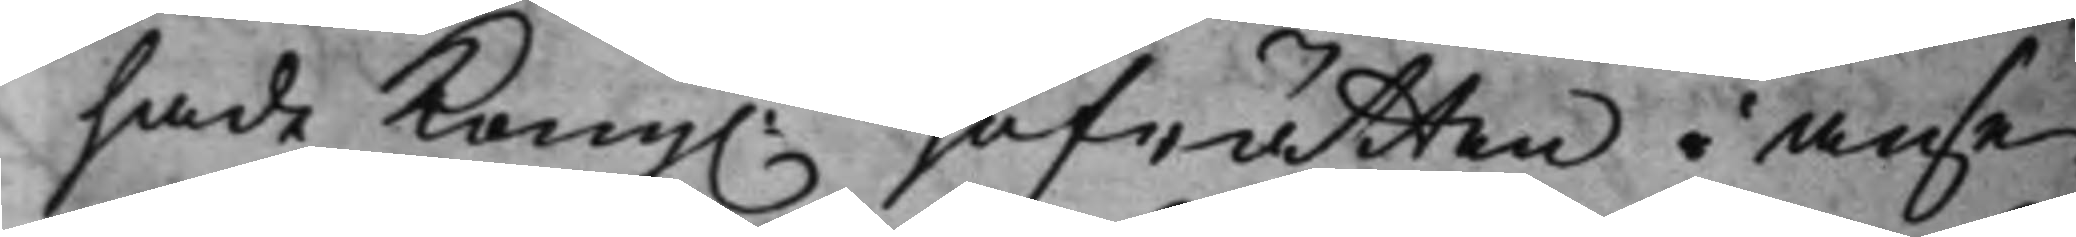hade Kong. Hofrätten i anse¬ 
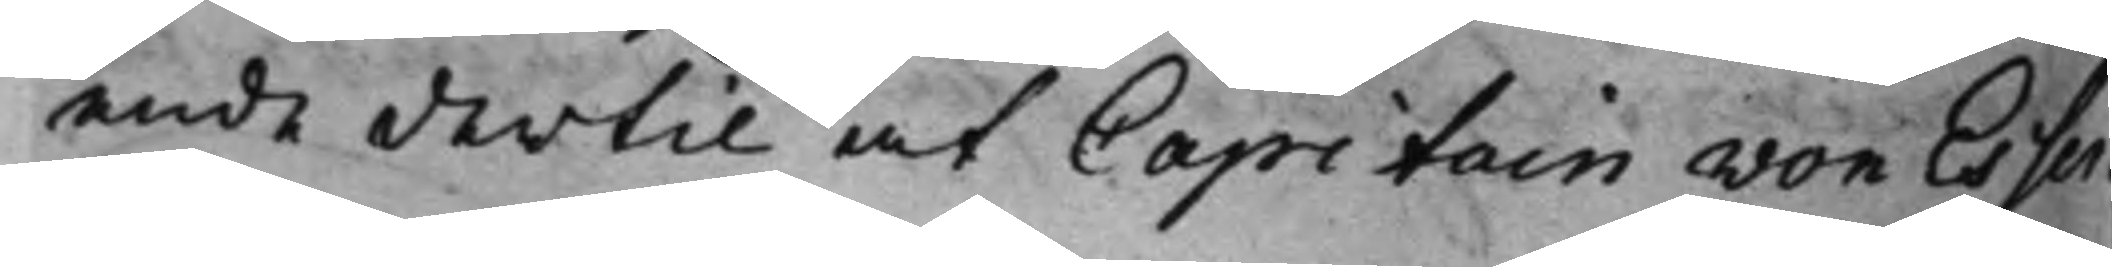ende dertil at Capitain von Essen
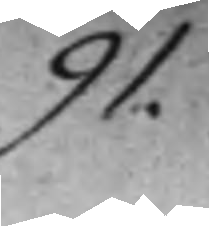91.
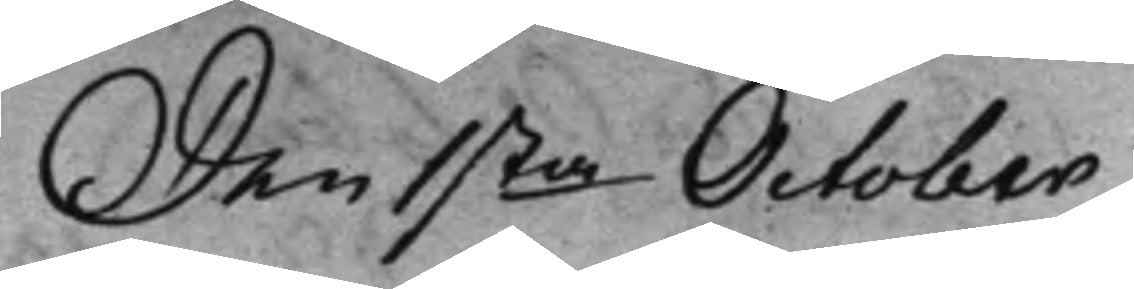Den 1sta October 
